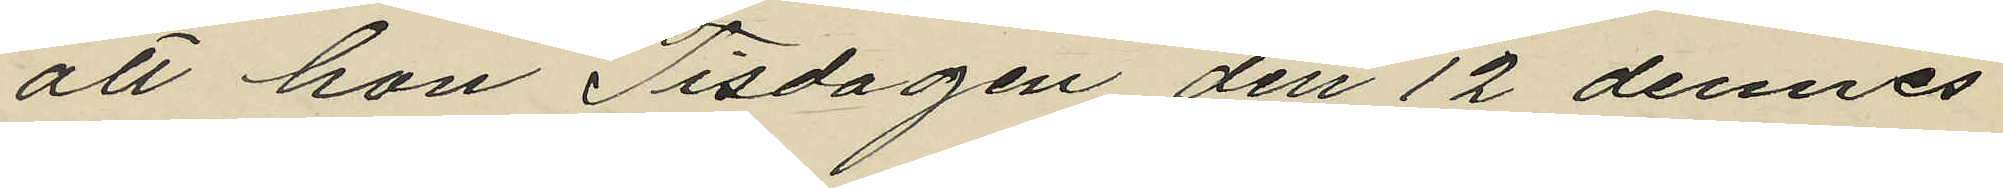att hon Tisdagen den 12 dennes
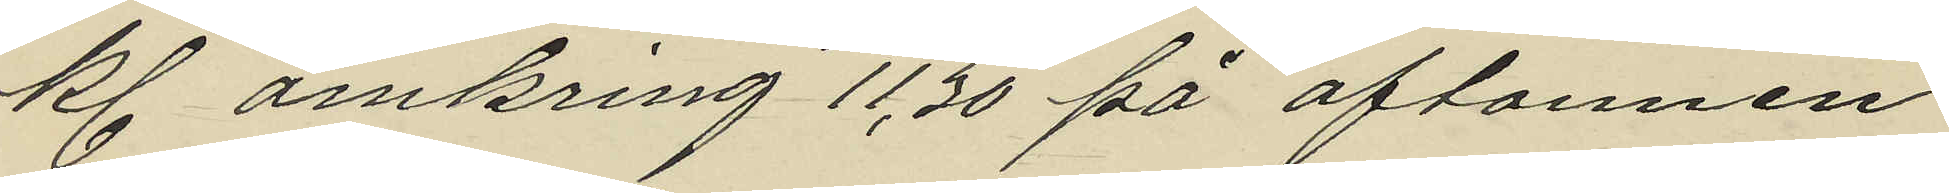kl. omkring 11,30 på aftonnen
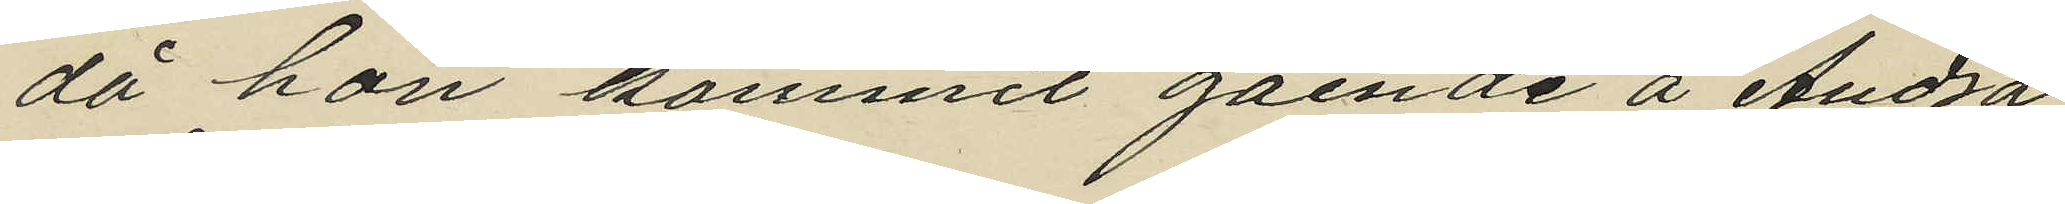då hon kommit gående å Andra
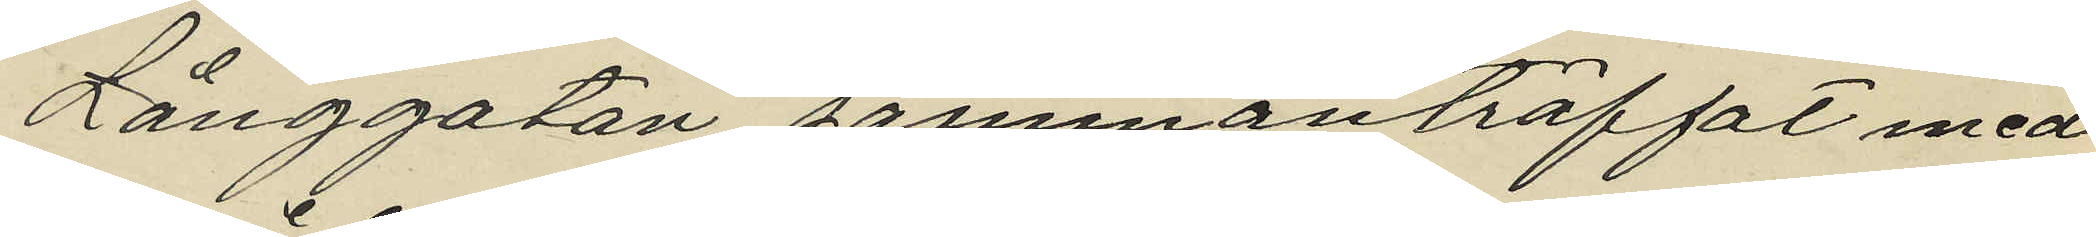Långgatan sammanträffat med
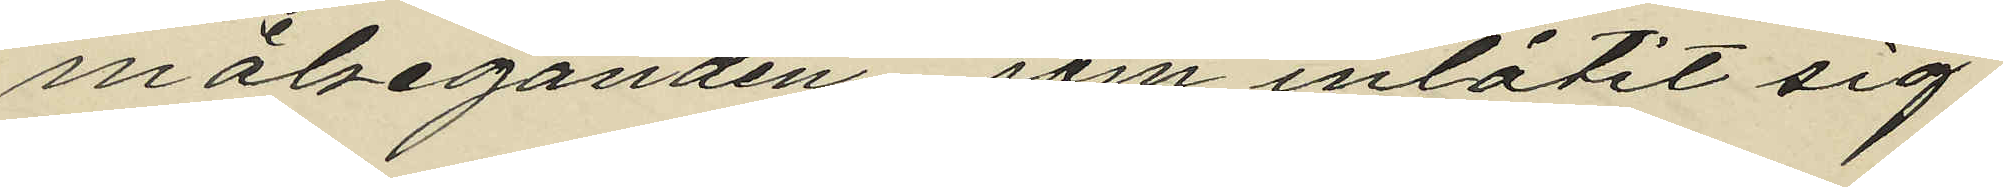målseganden, som inlåtit sig
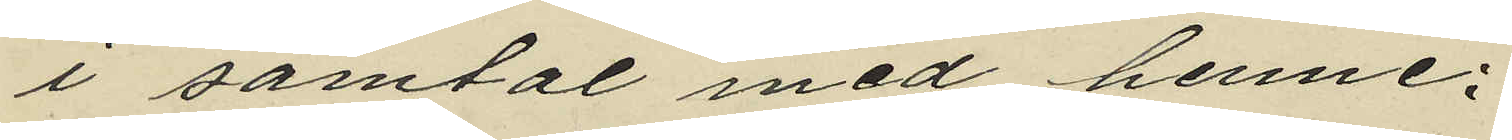i samtal med henne;
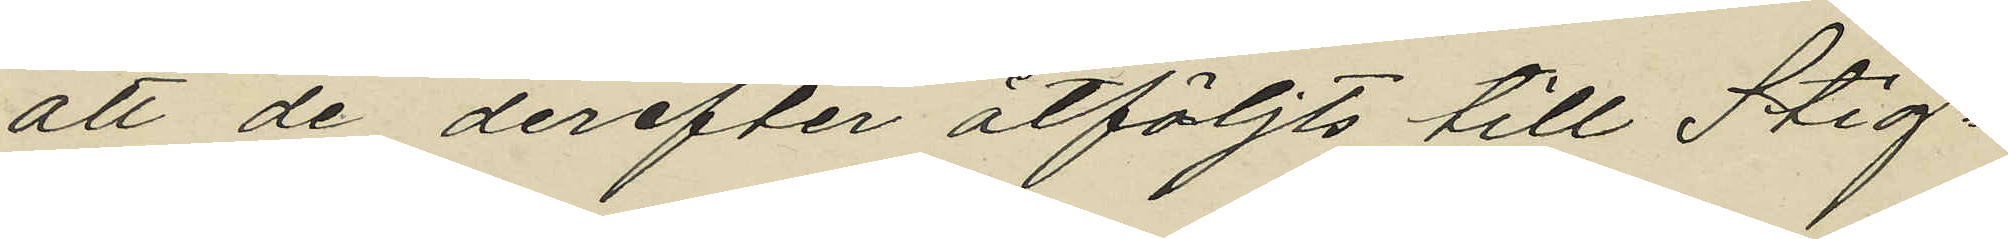att de derefter åtföljts till Stig¬
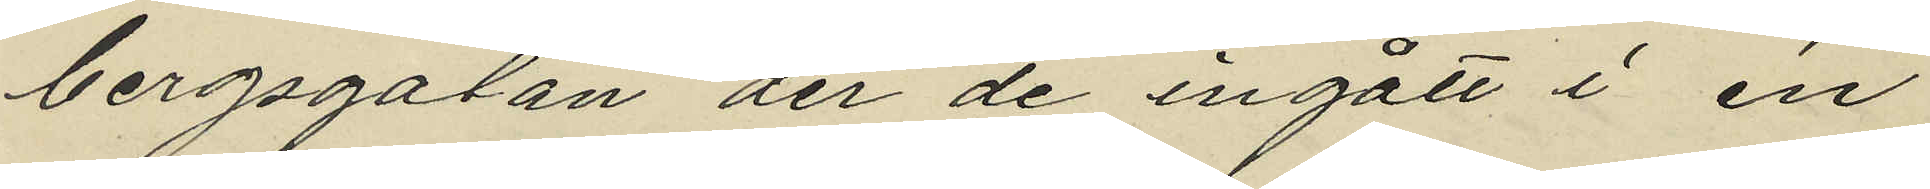bergsgatan der de ingått i en
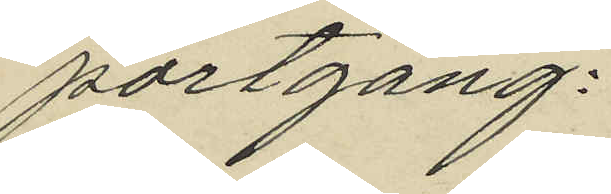portgång.
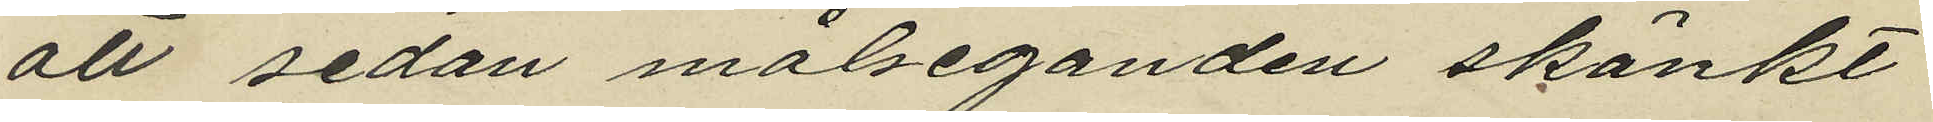att sedan målseganden skänkt
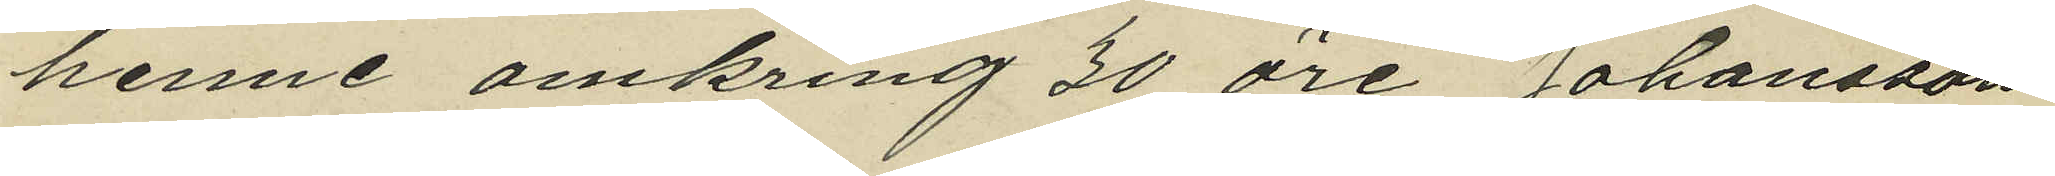henne omkring 30 öre Johansson
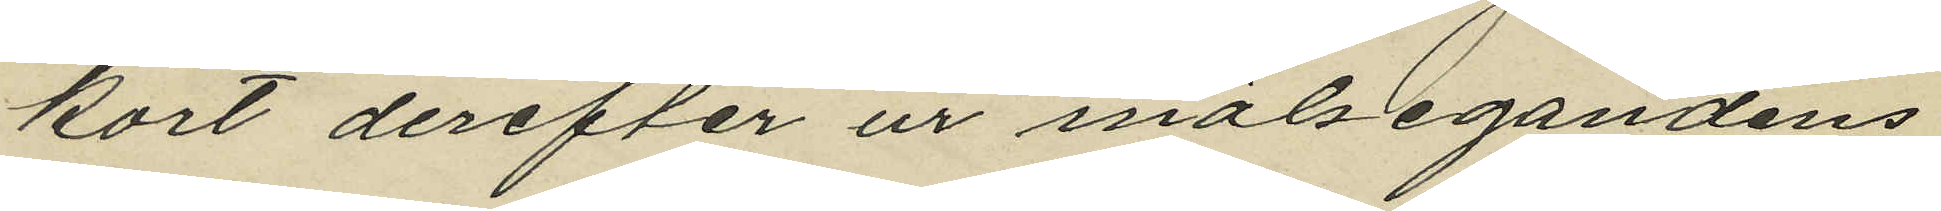kort derefter ur målsegandens
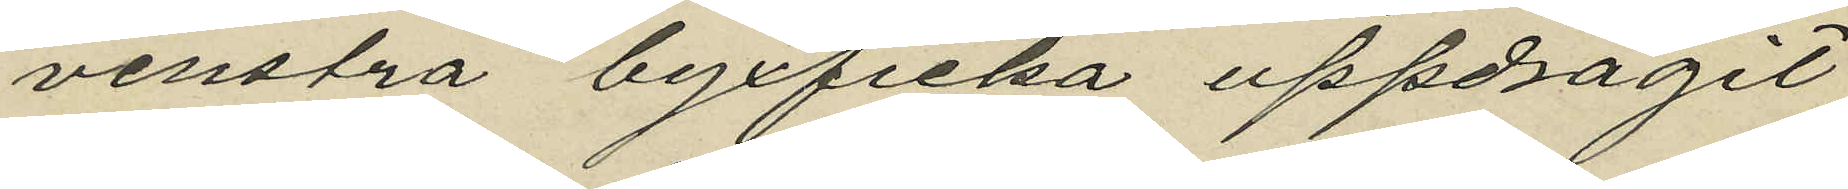venstra byxficka uppdragit
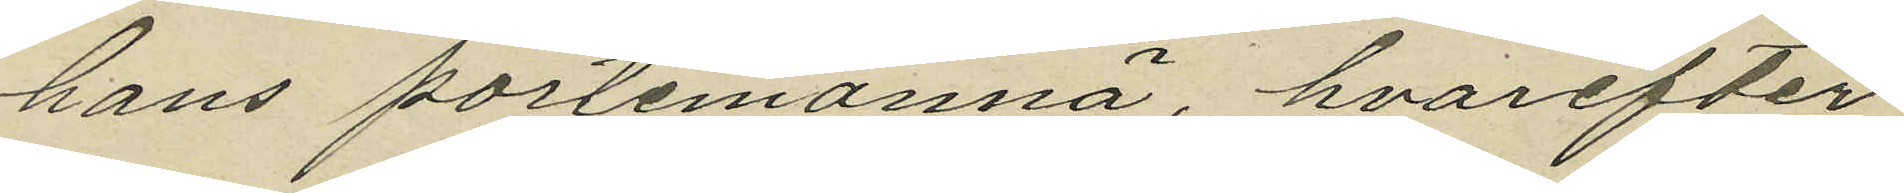hans portemonnä, hvarefter
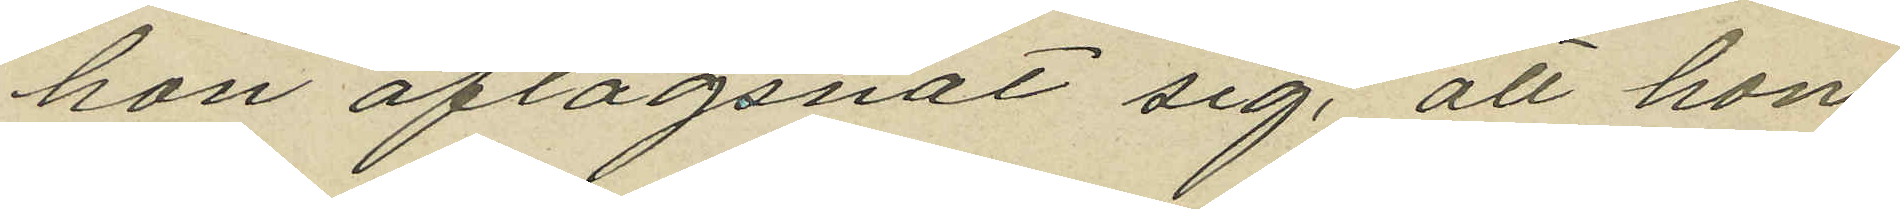hon aflägsnat sig, att hon
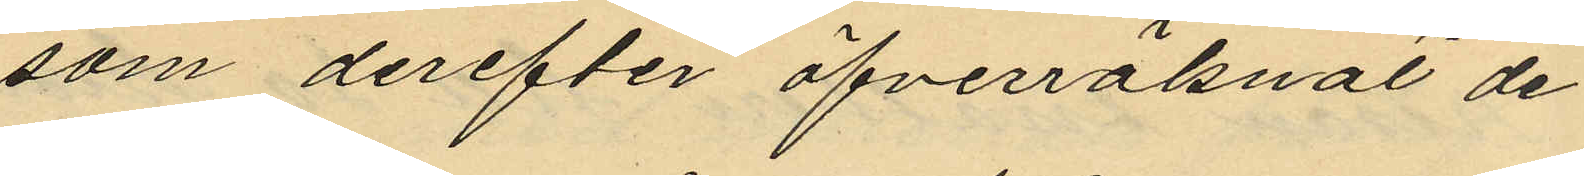som derefter öfverräknat de
